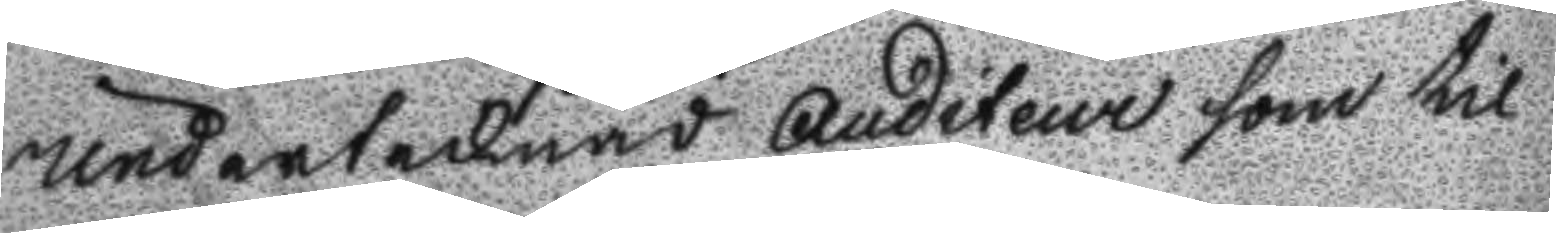undertecknad Auditeur som til
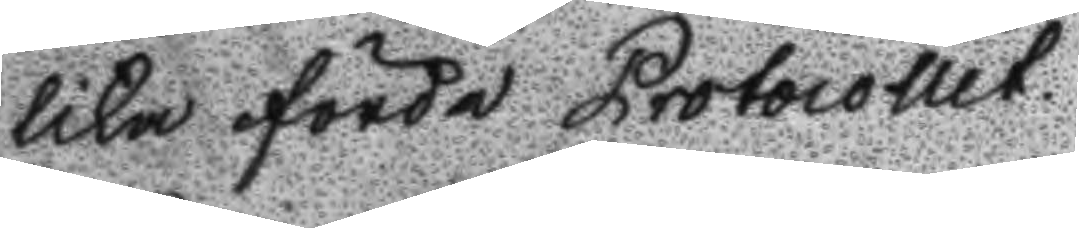lika förde Protocollet.
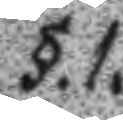§.1.
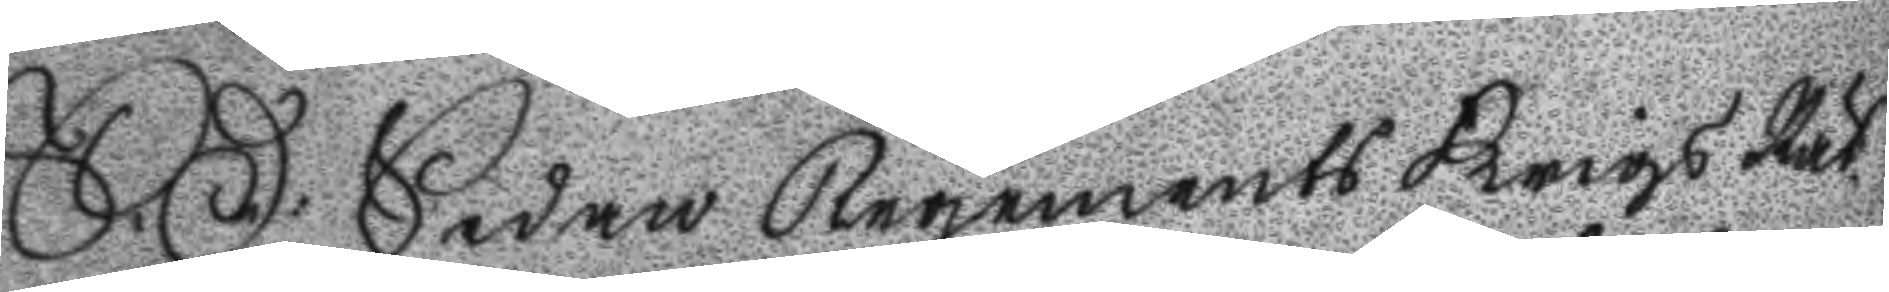S:D: Sedan Regements Krigs Rät¬
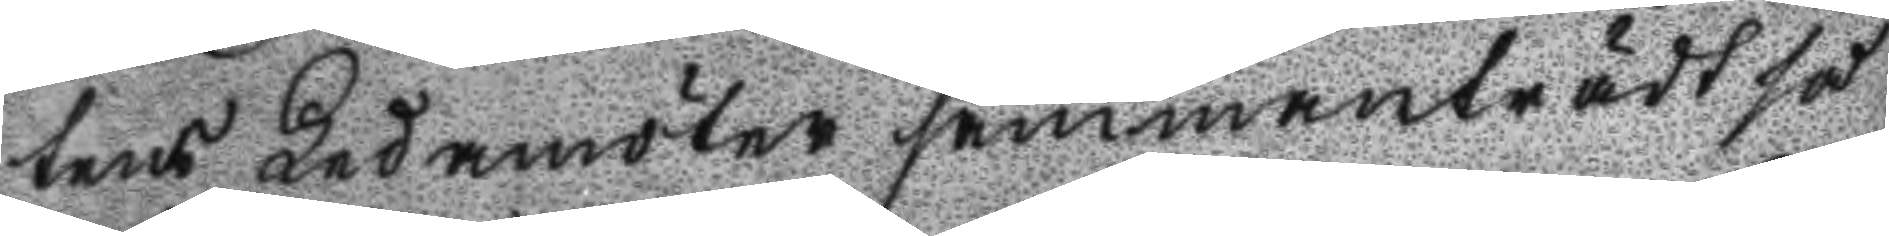tens Ledamöter sammanträdt så
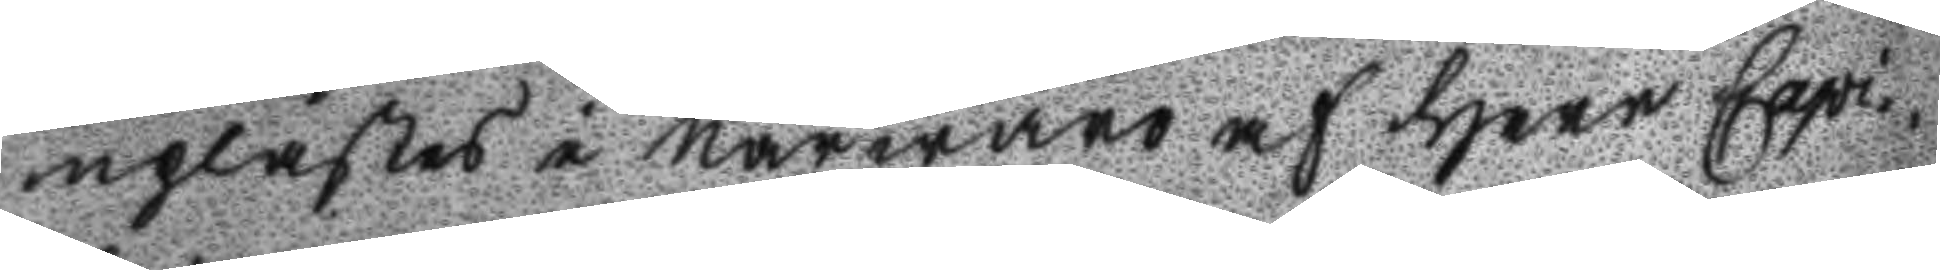uplästes i Närwaro af Herr Capi¬
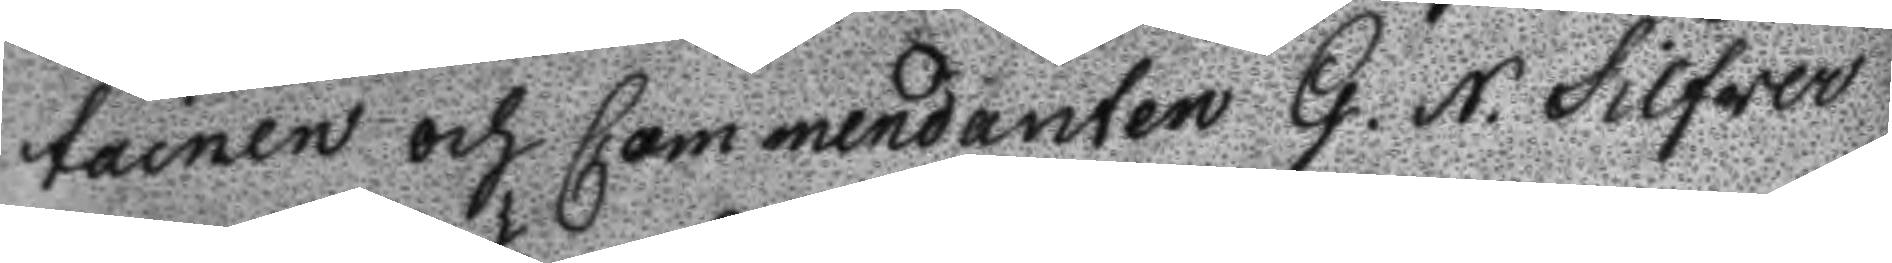tainen och Commendanten G. N. Silfwer
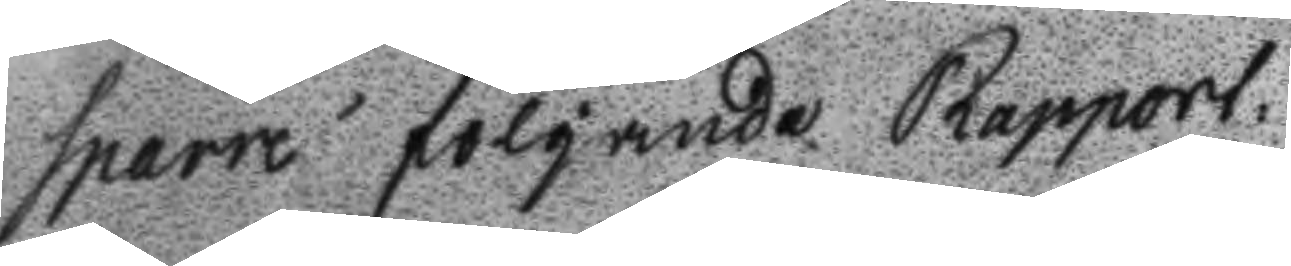sparre följande Rapport.
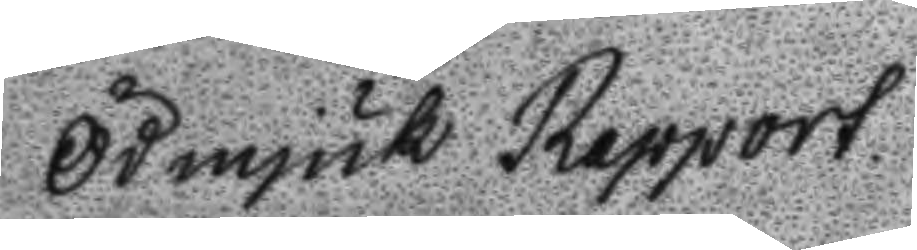Ödmjuk Rapport
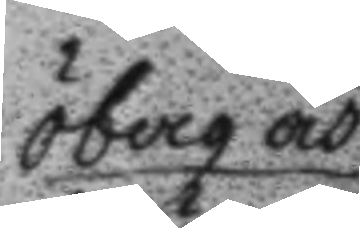Öberg och
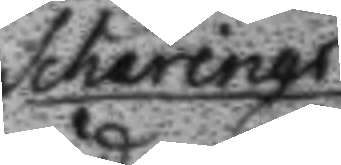Schärings
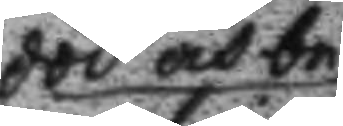död och be
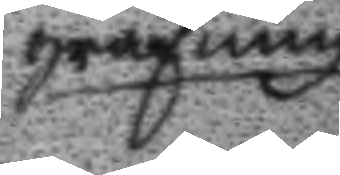grafning
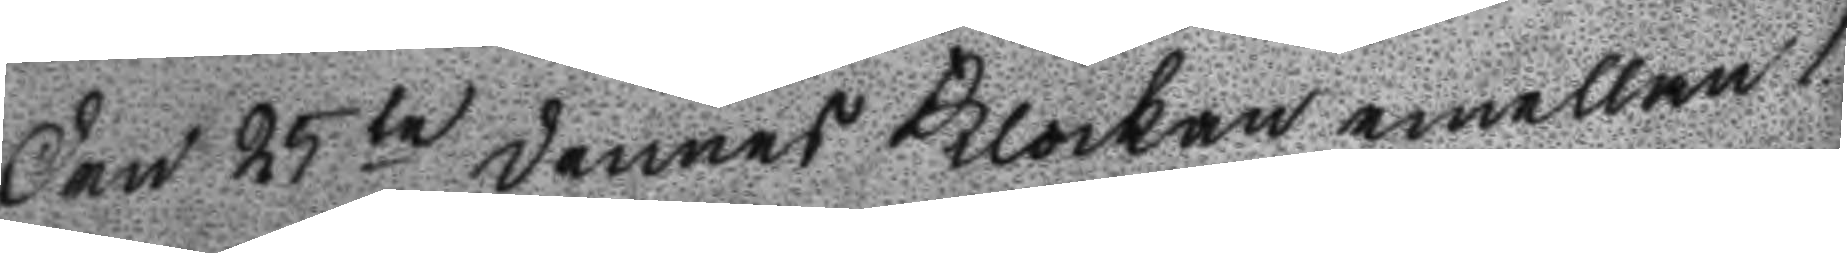Den 25 te dennes Klockan emellan 1
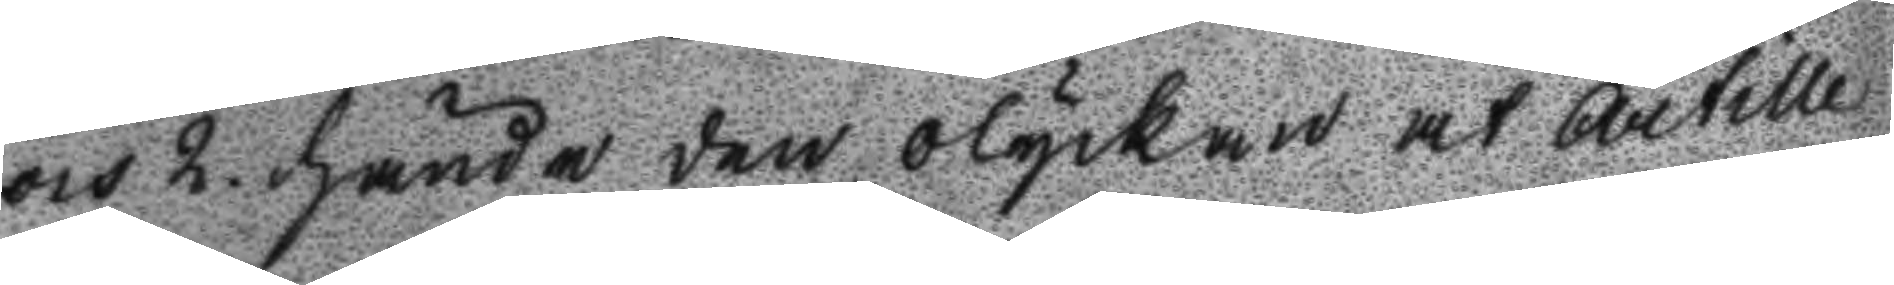och 2. hände den olyckan at artille 
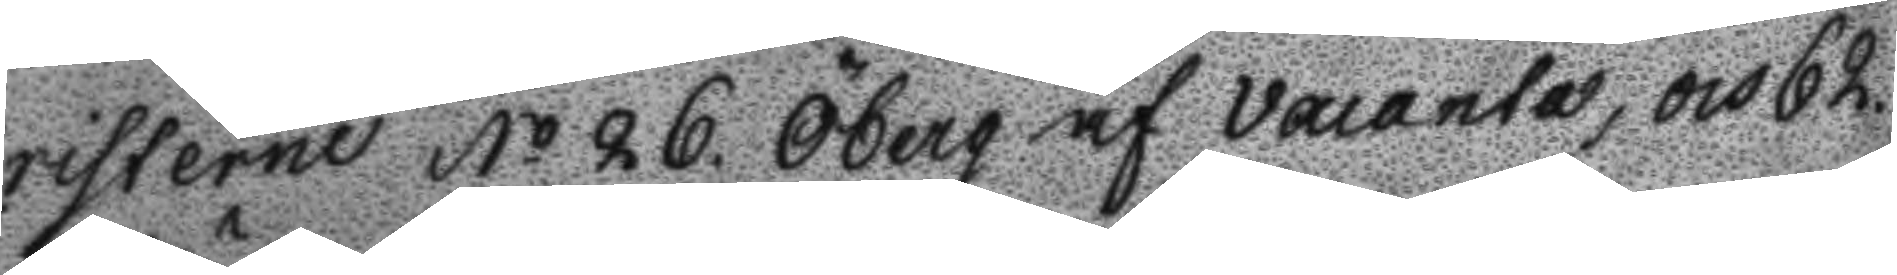risterne No 26. Öberg af vacanta, och 62
